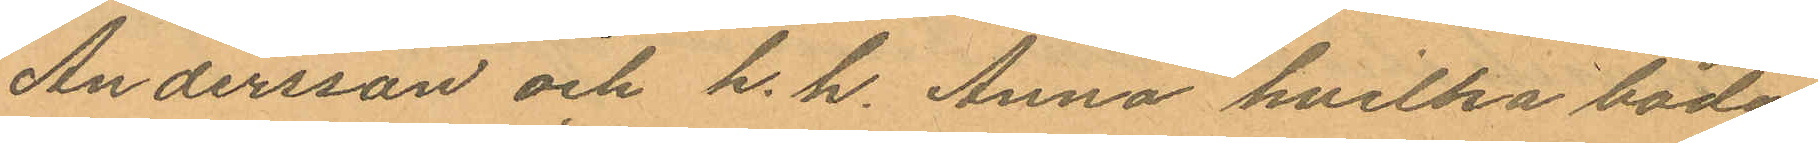Andersson och h. h. Anna hvilka båda
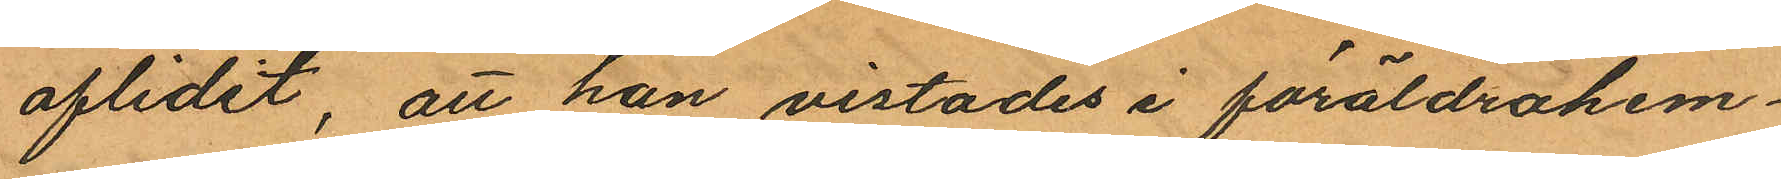aflidit, att han vistades i föräldrahem¬
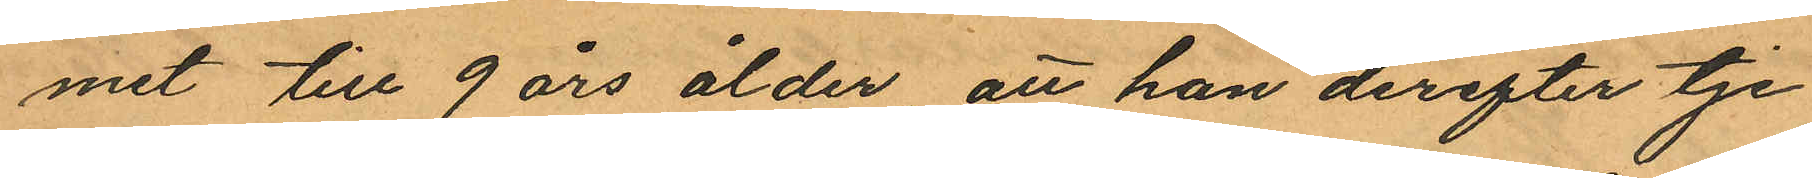mit till 9 års ålder att han derefter tje¬
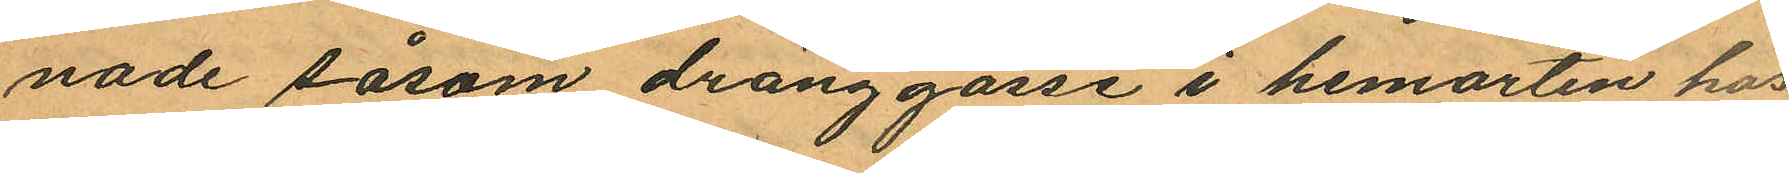nade såsom dränggosse i hemorten hos
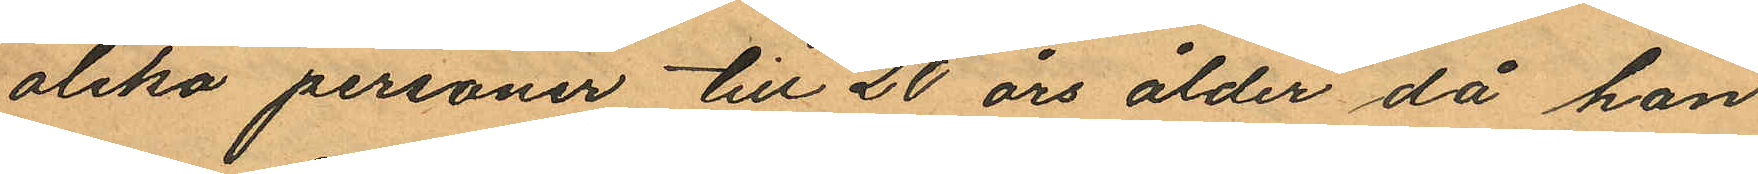olika personer till 20 års ålder då hon
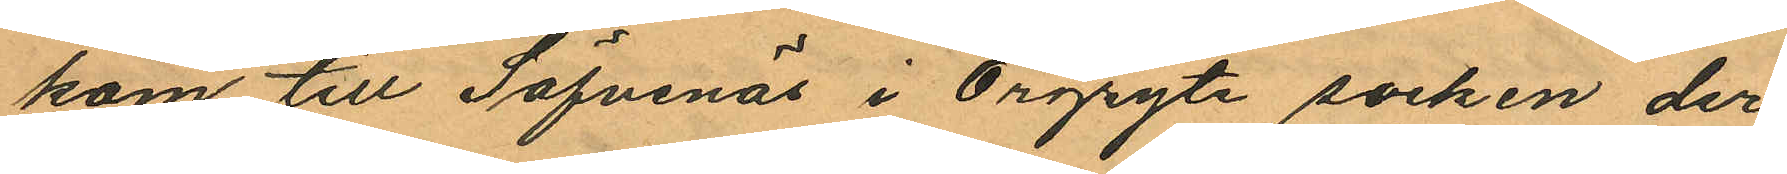kom till Säfvenäs i Örgryte socken der
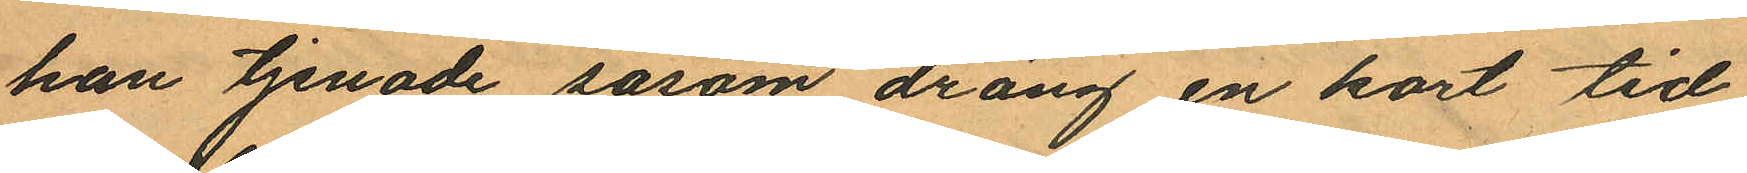han tjenade såsom dräng en kort tid,
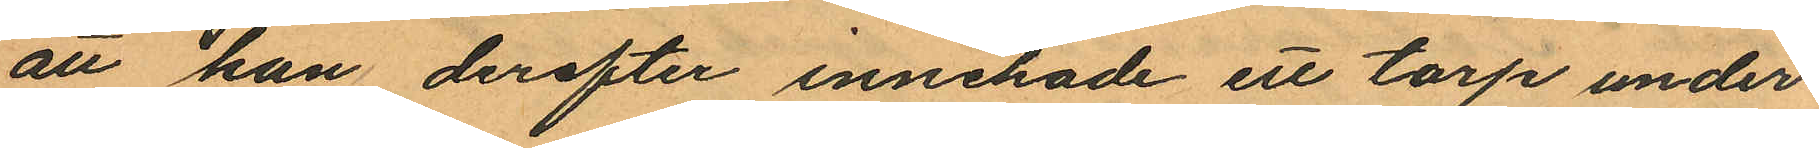att han derefter innehade ett torp under
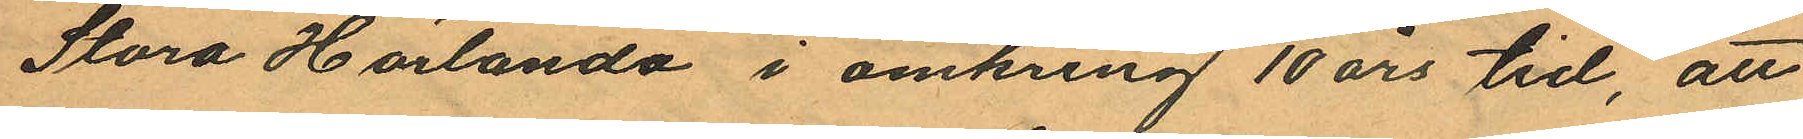Stora Härlanda i omkring 10 års tid, att
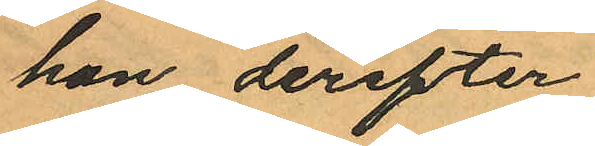han derefter
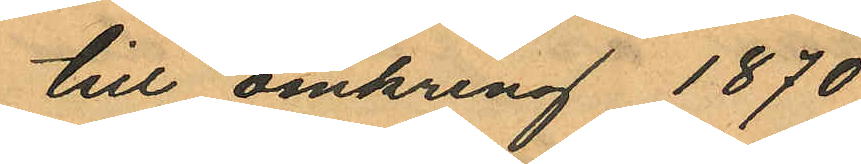till omkring 1870
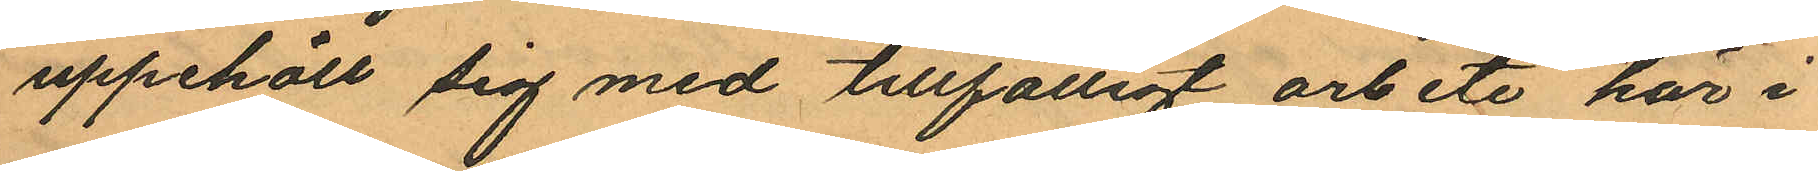uppehöll sig med tillfälligt arbete här i
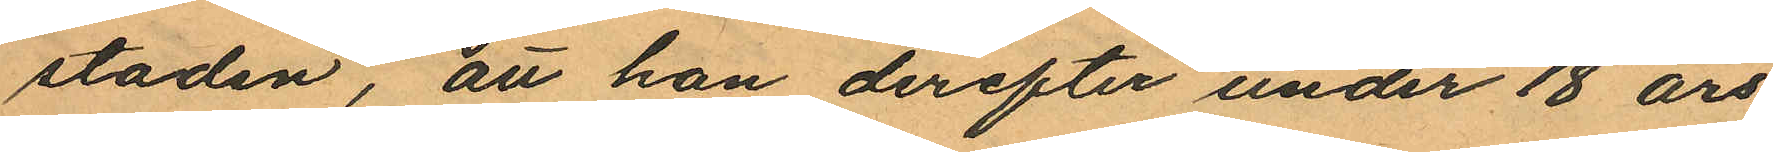staden, att han derefter under 18 års
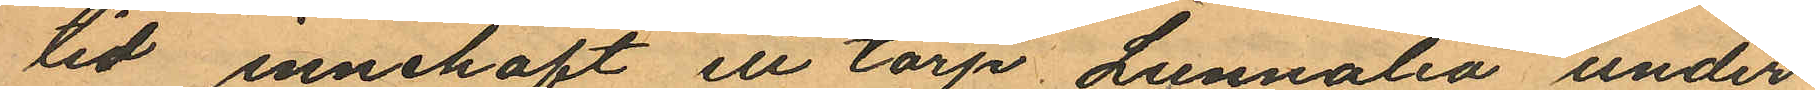tid innehaft ett torp Lunnalia under
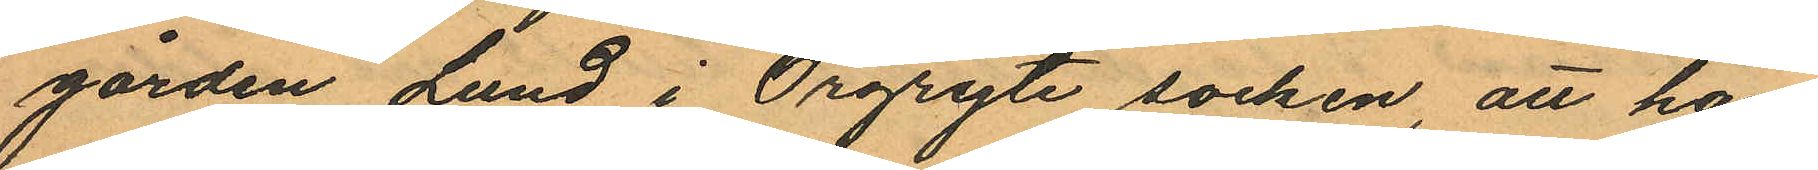gården Lund i Örgryte socken, att han
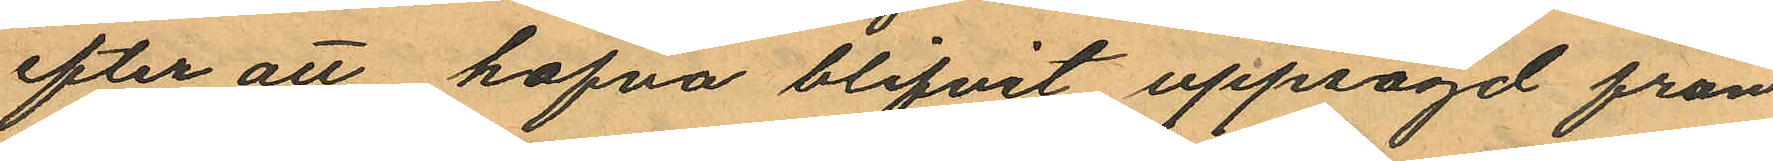efter att hafva blifvit uppsagd från
